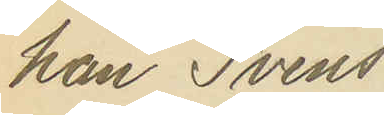han Svens¬
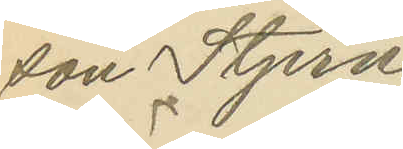son Stjern¬
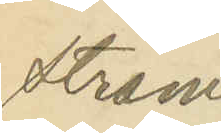ström
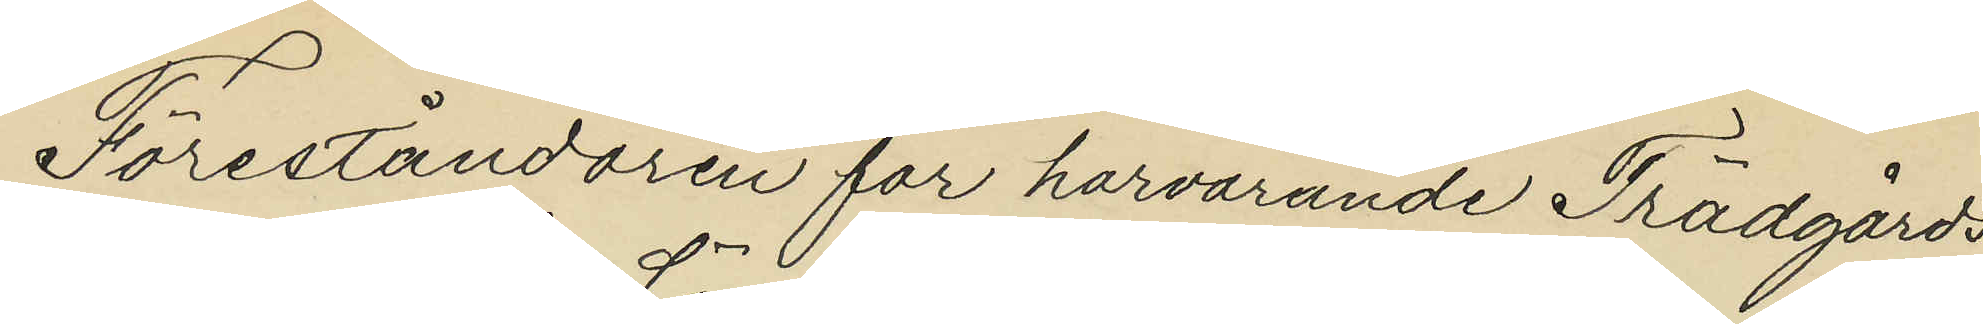Föreståndaren för härvarande Trädgårds¬
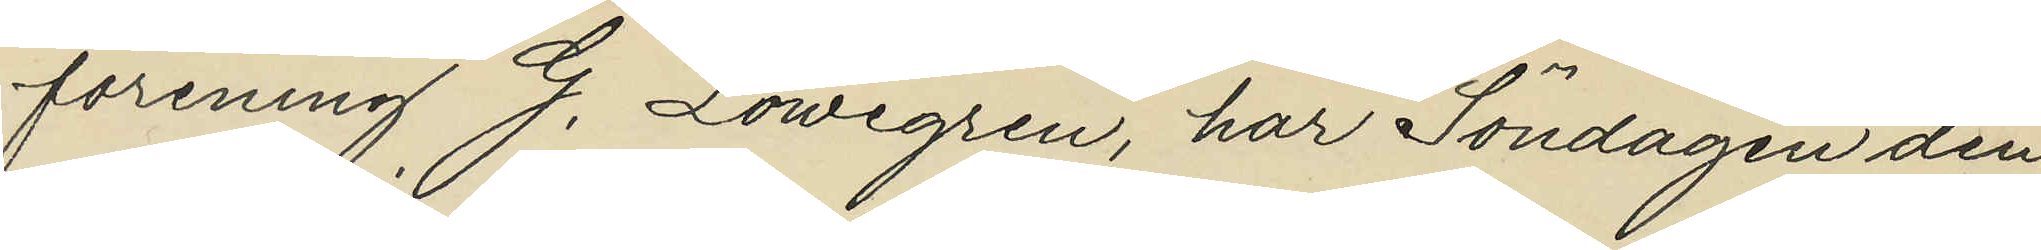förening G. Löwegren, har Söndagen den
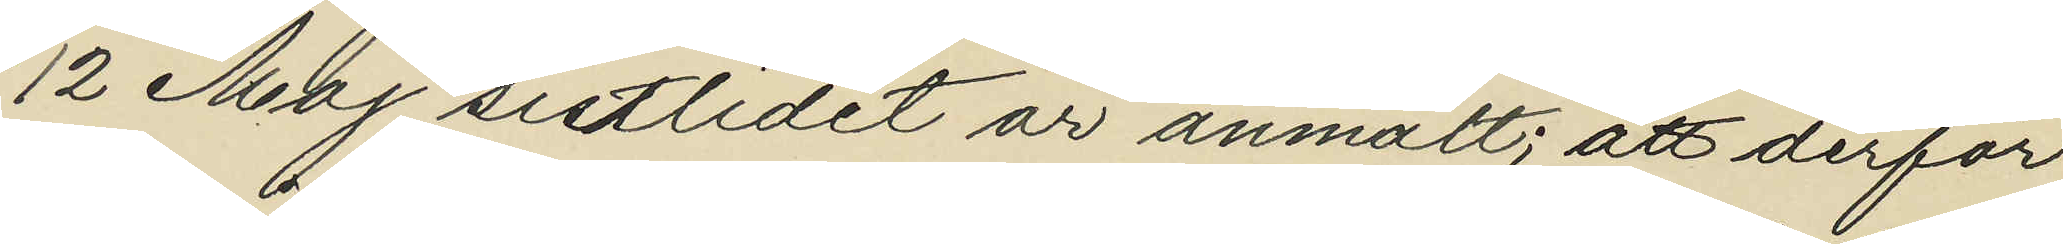12 Maj sistlidet år anmält; att derför¬
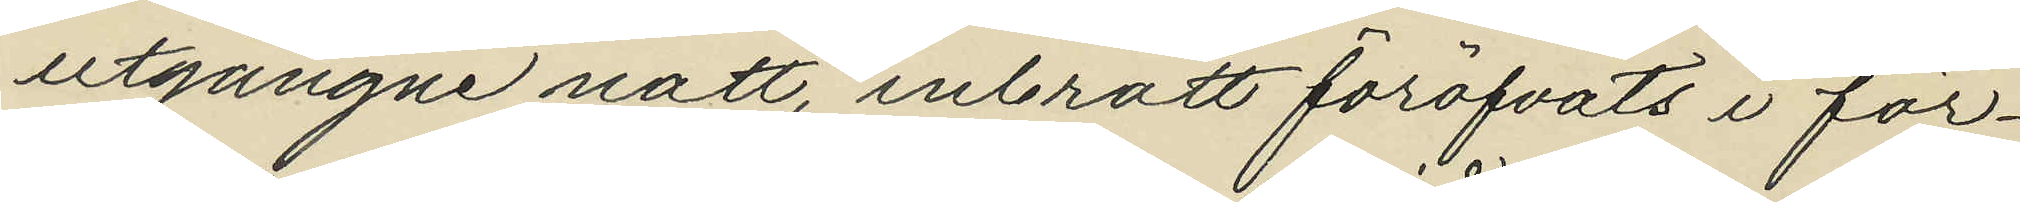utgångne natt, inbrott föröfvats i för¬
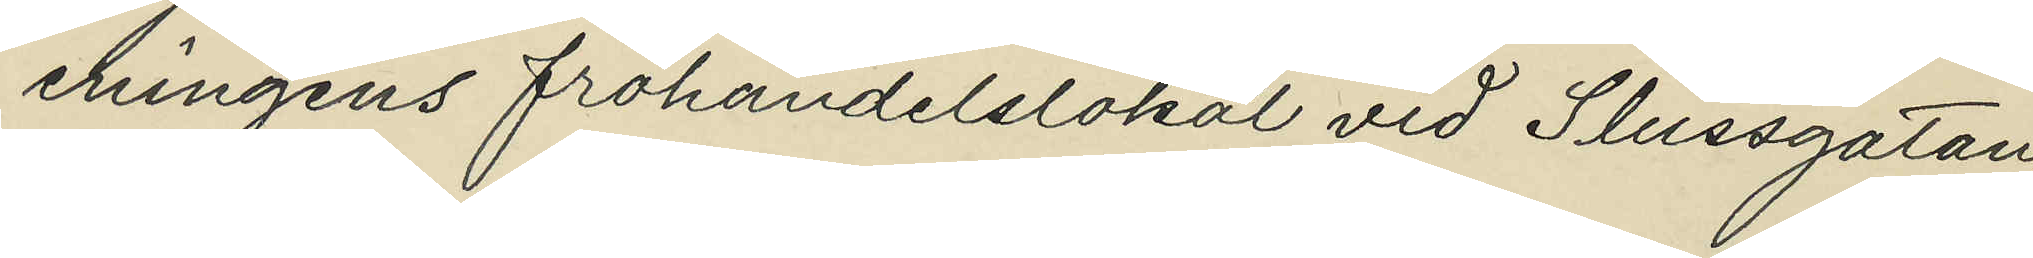eningens fröhandelslokal vid Slussgatan,
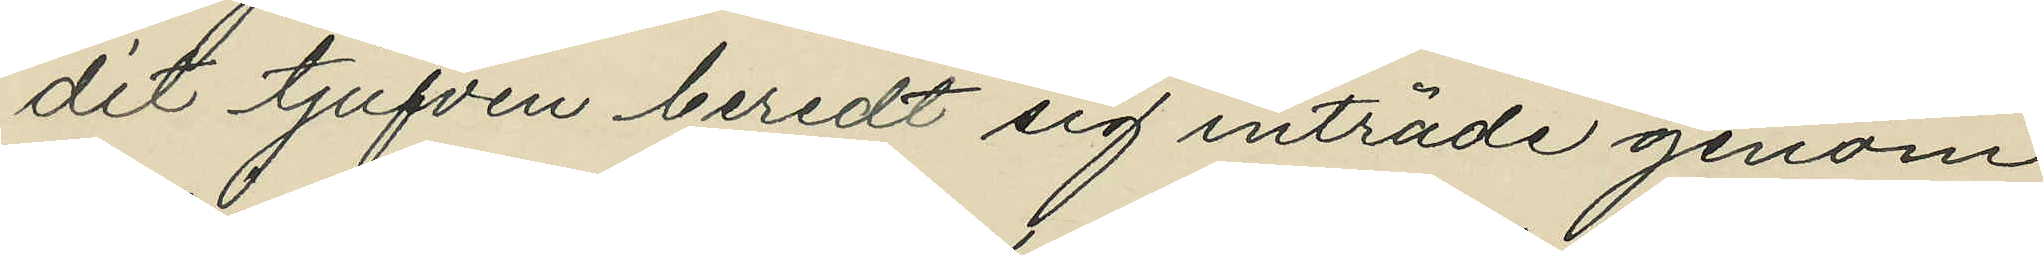dit tjufven beredt sig inträde genom
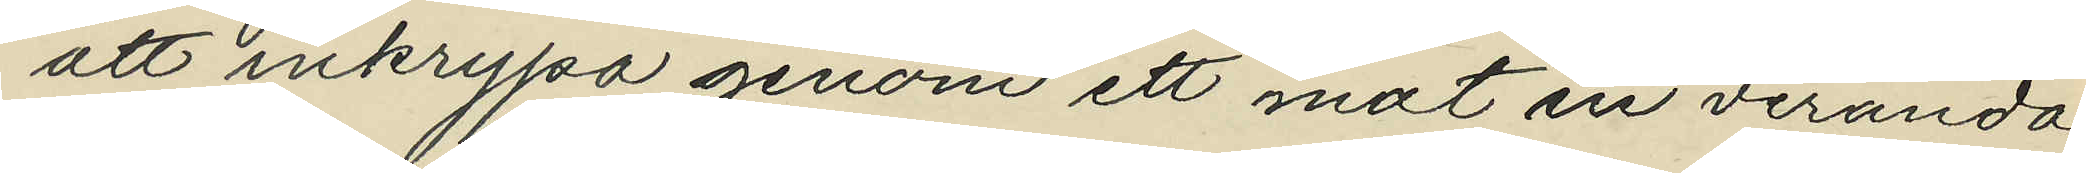att inkrypa genom ett mot en veranda
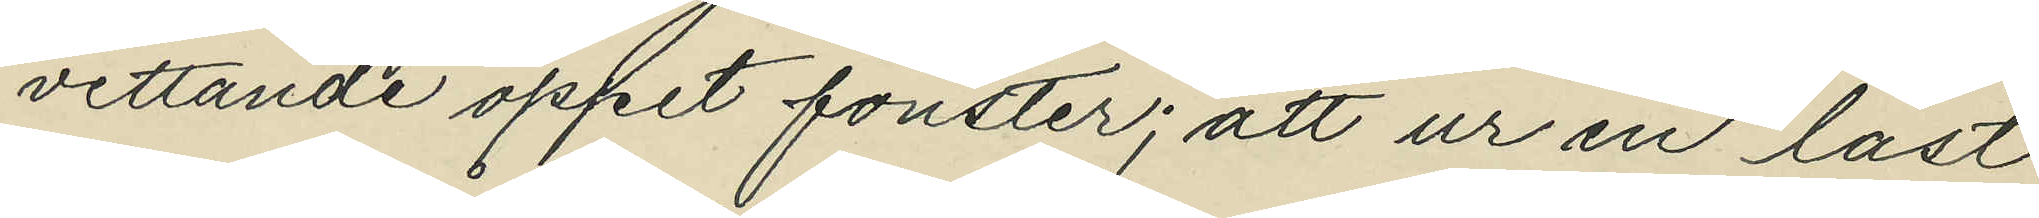vettande öppet fönster; att ur en låst
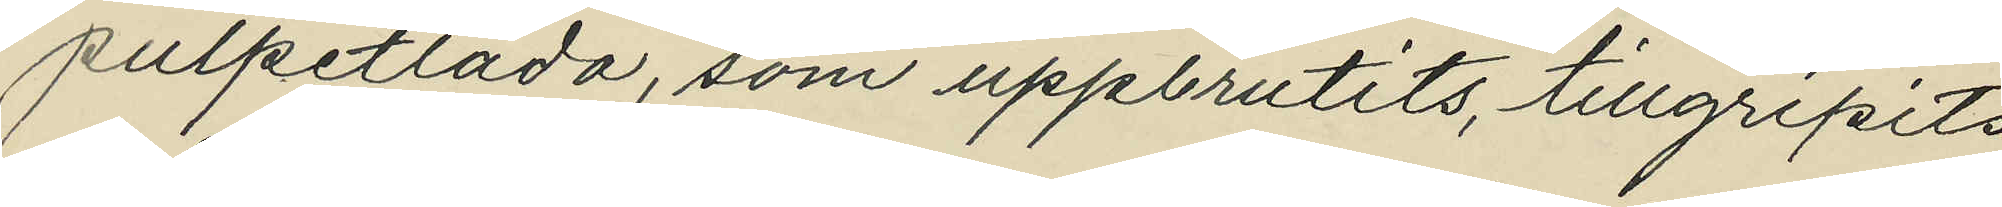pulpetlåda, som uppbrutits, tillgripits
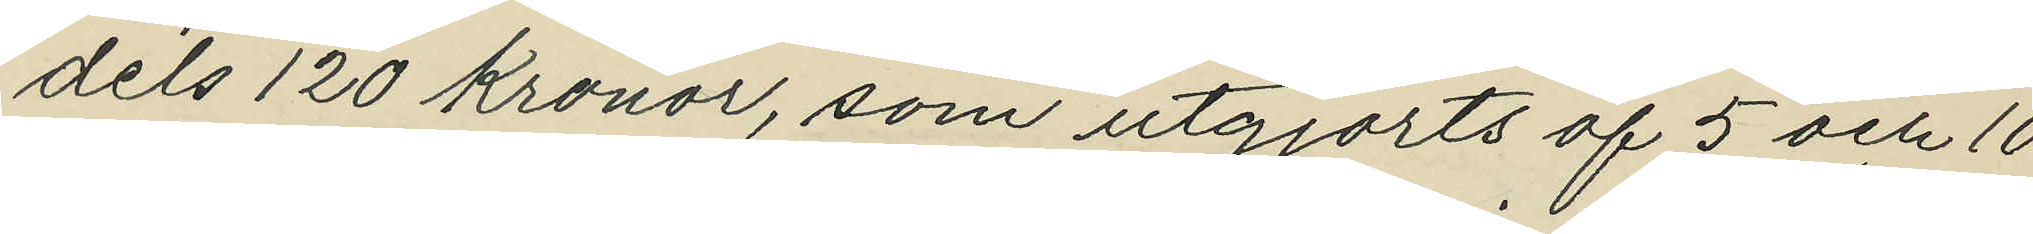dels 120 Kronor, som utgjorts af 5 och 10
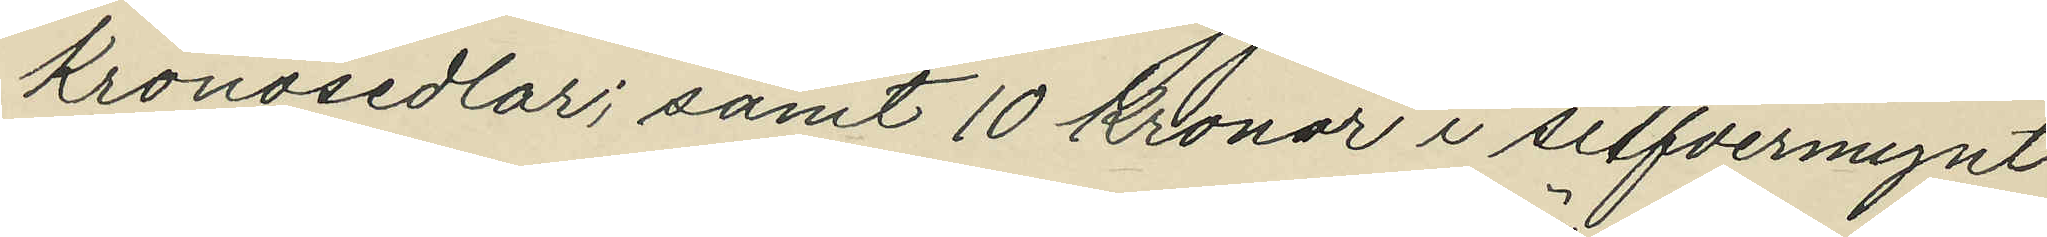Kronosedlar; samt 10 Kronor i silfvermynt
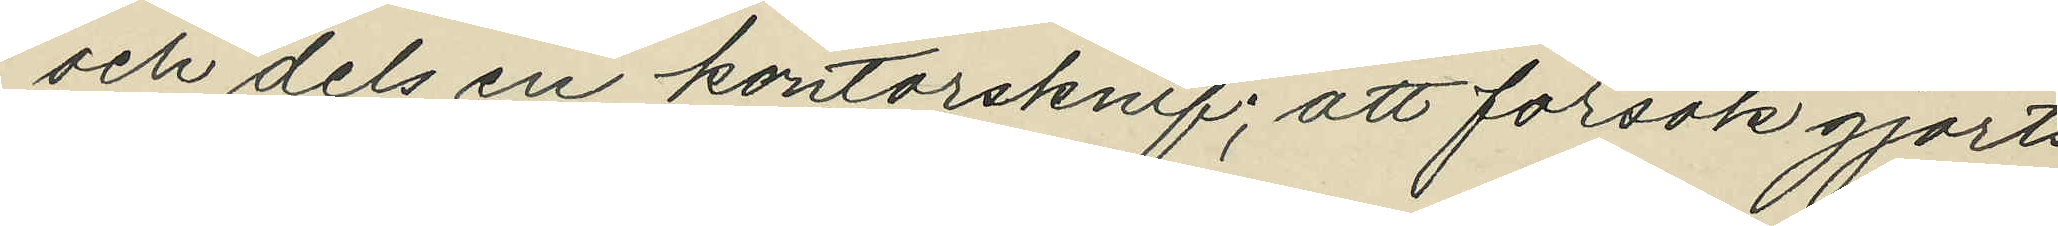och dels en kontorsknif; att försök gjorts
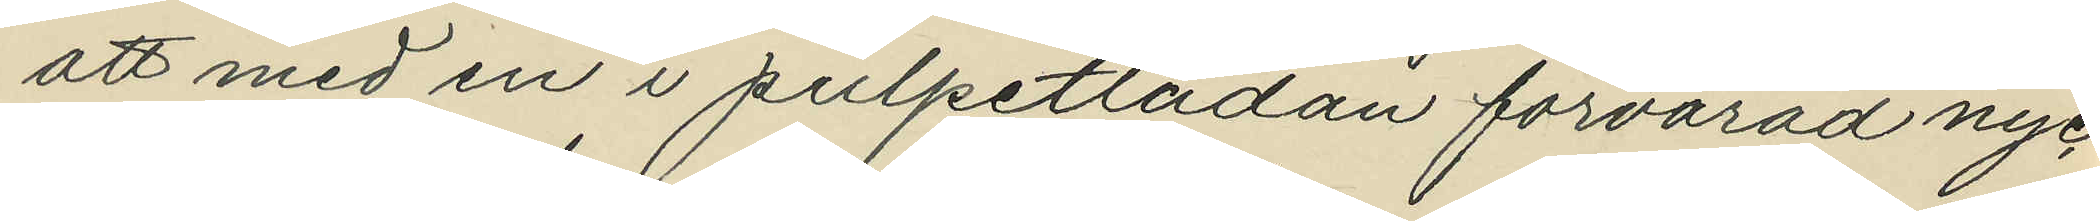att med en i pulpetlådan förvarad nyc¬
